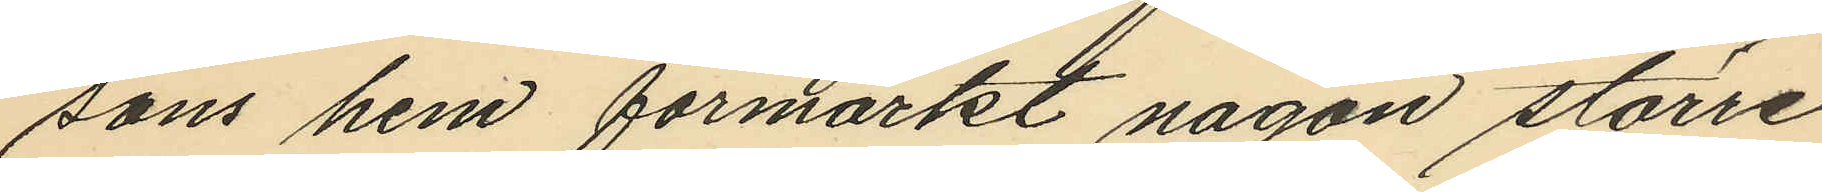sons hem förmärkt någon större
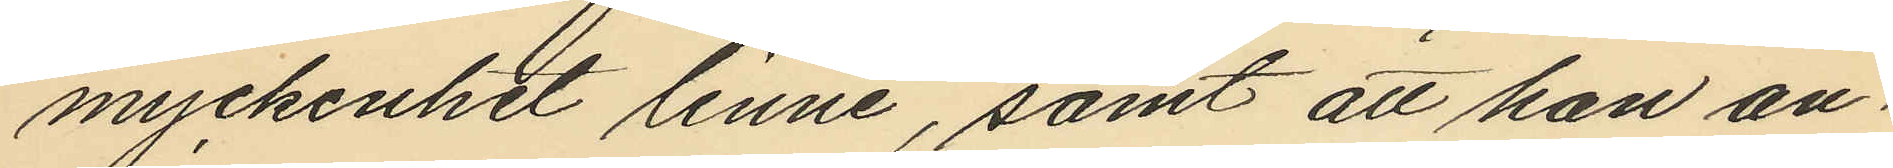myckenhet linne, samt att han an¬
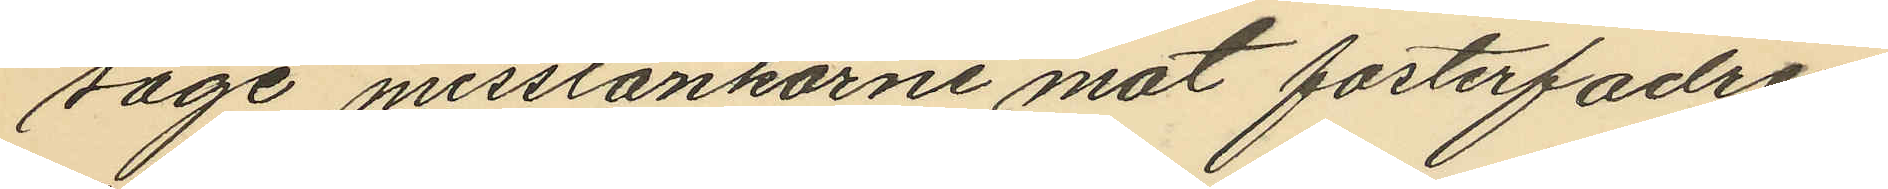såge misstankarne mot fosterfadren
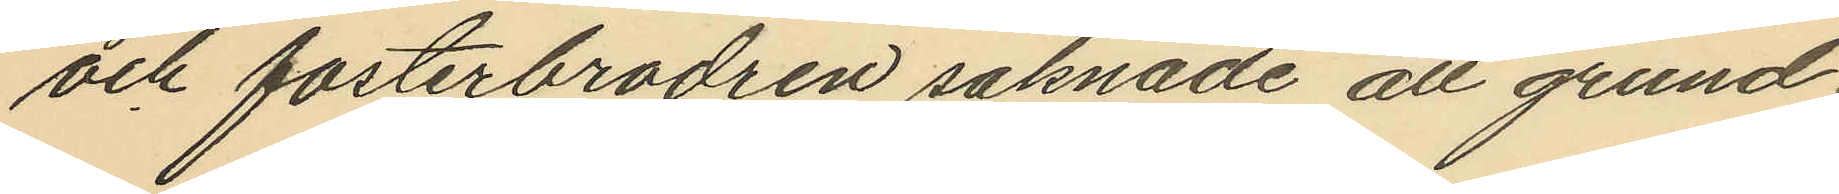och fosterbrodren saknade all grund.
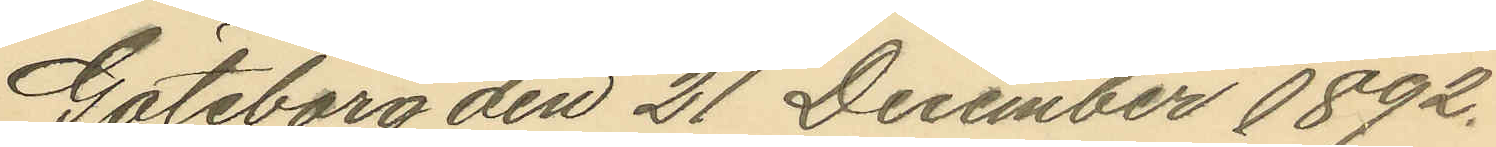Göteborg den 21 December 1892.
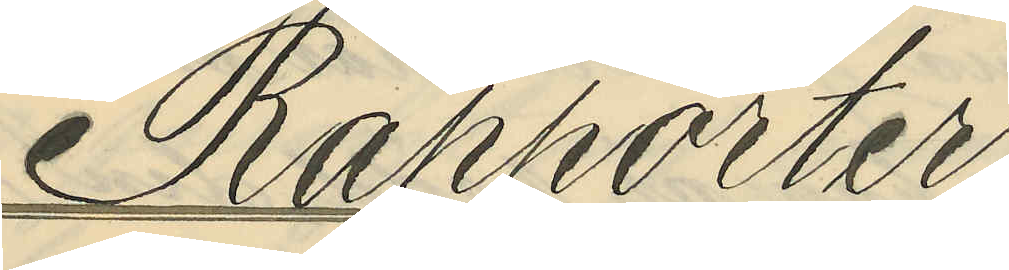Rapporter
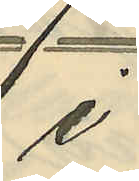i
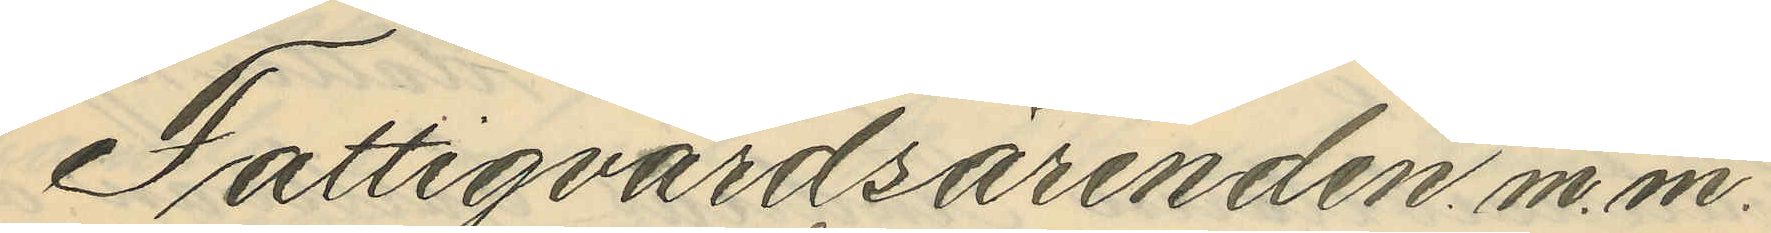Fattigvårdsärenden. m. m.
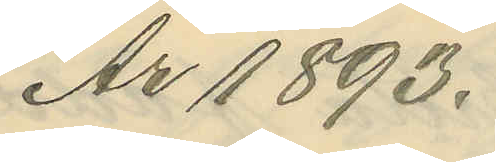År 1893.
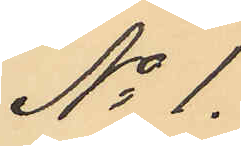No 1.
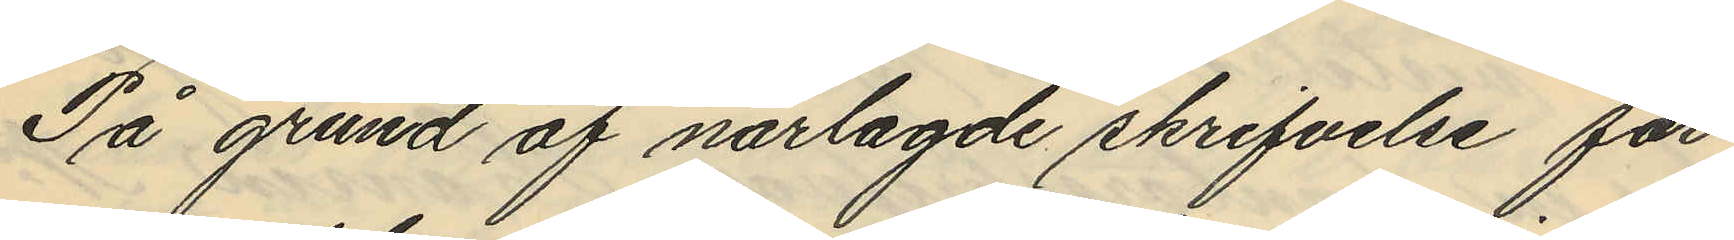På grund af närlagde skrifvelse får
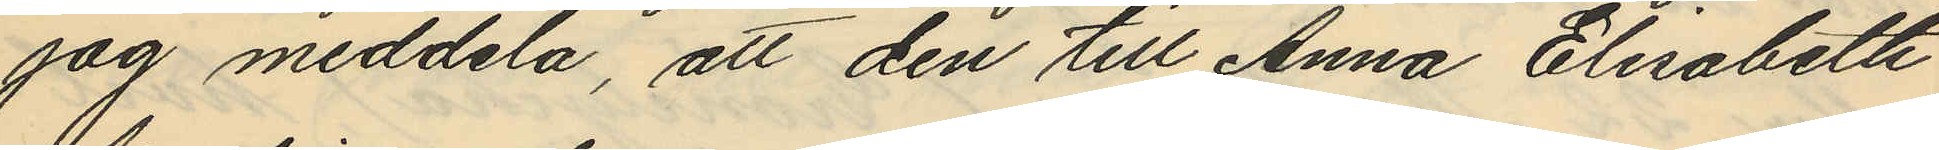jag meddela, att den till Anna Elisabeth
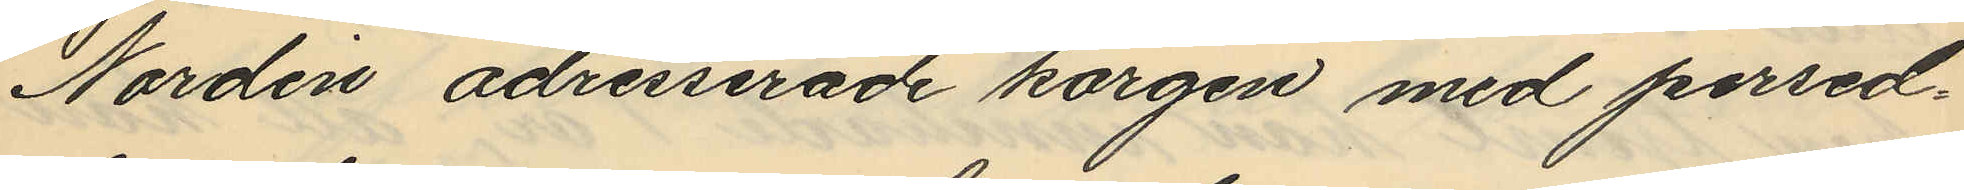Nordén adresserade korgen med persed¬
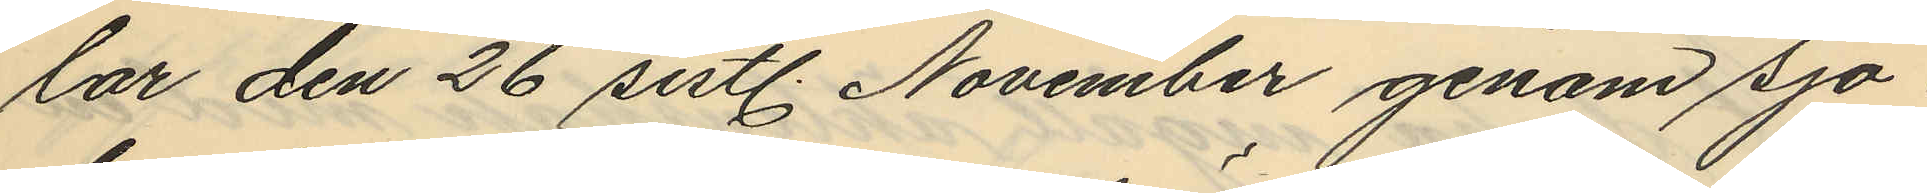lar den 26 sistl. November genom sjö¬
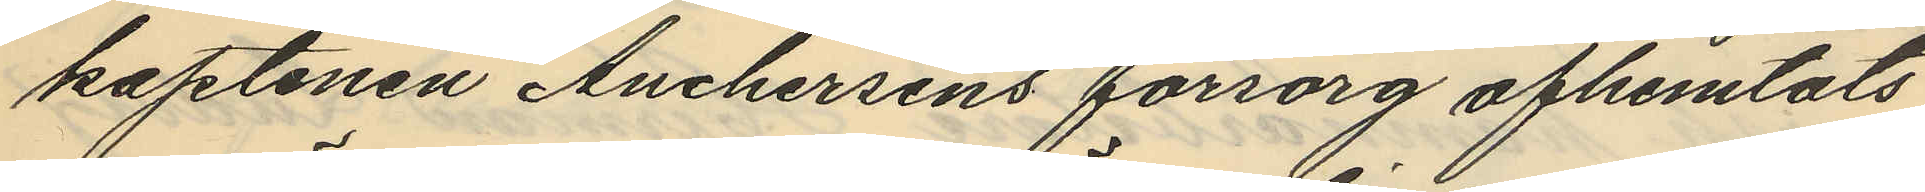kaptenen Anchersens försorg afhemtats
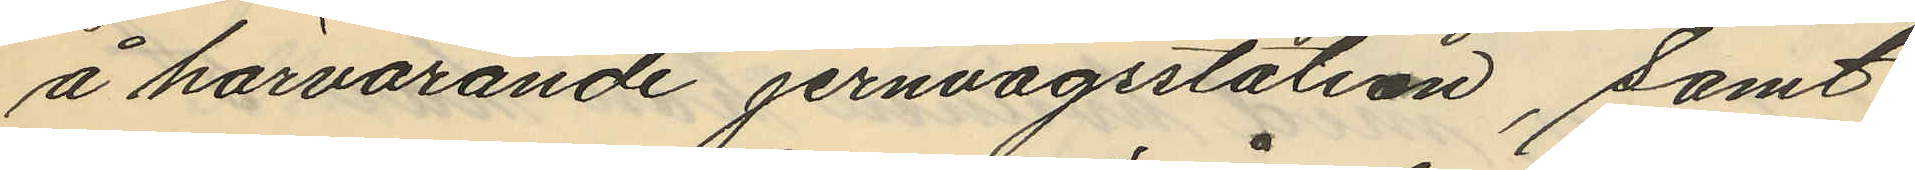å härvarande jernvägsstation, samt
